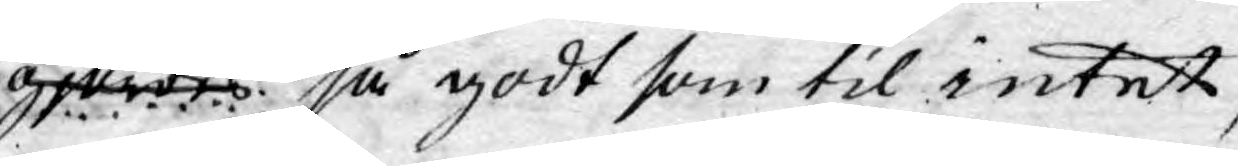gjordes så godt som til intet,
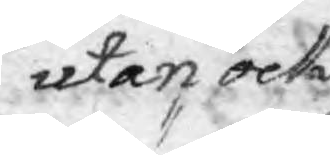utan ock
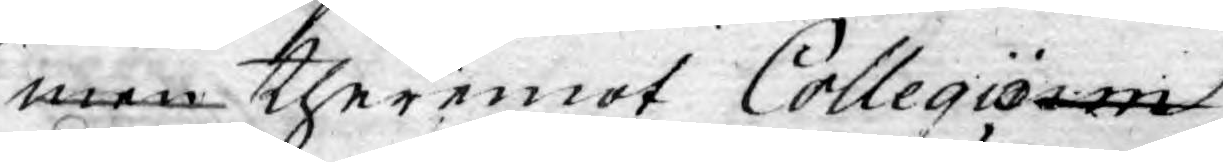men theremot Collegiom
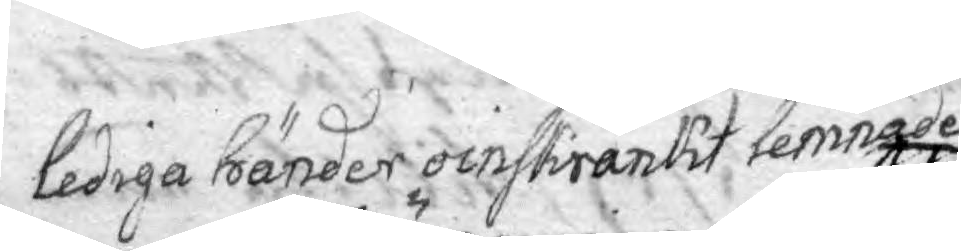lediga händer oinskränkt lemnade
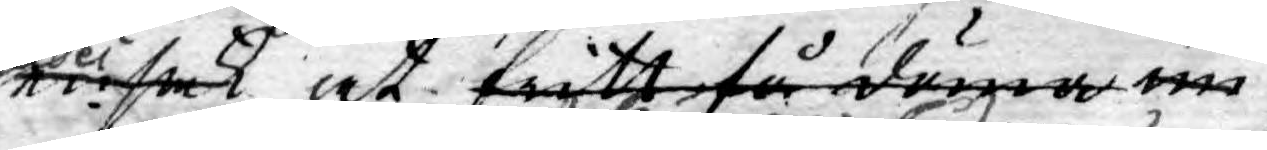en sak at fritt få döma un¬
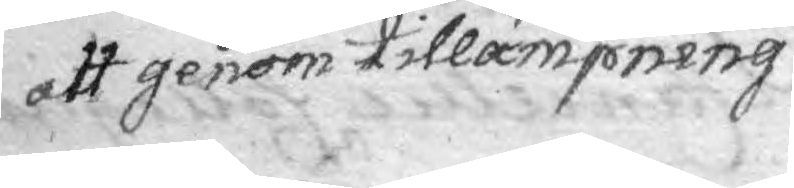att genom tillämpning
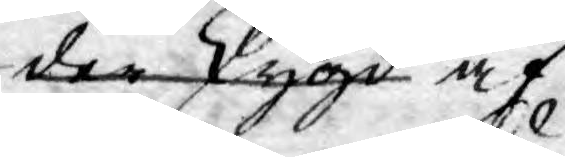der skygd af
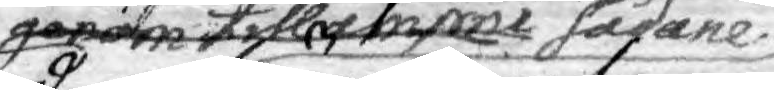genom tillämpne sådane
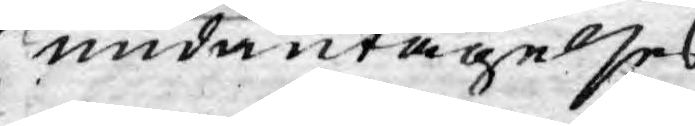undantagelses
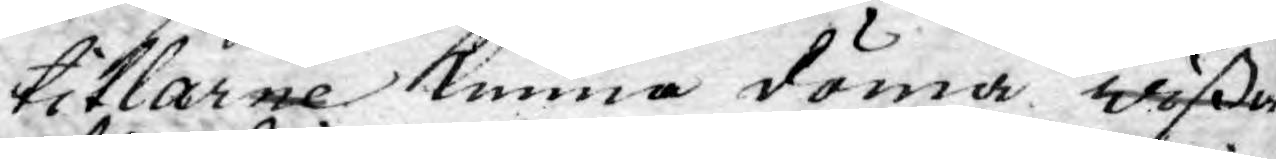titlarne kunna döma wißa
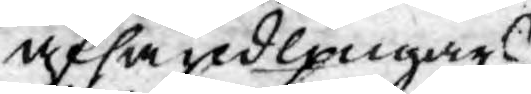afhandlingars
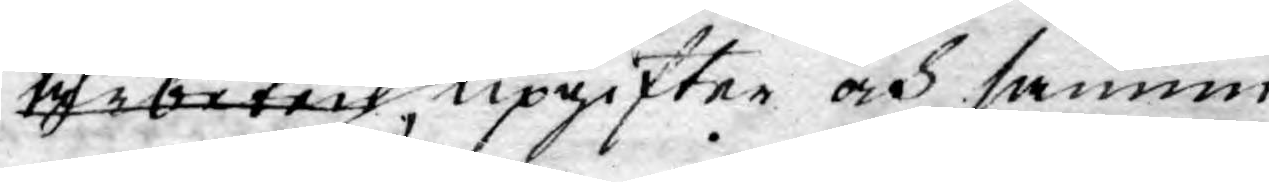arbeten, upgifter och sannin¬
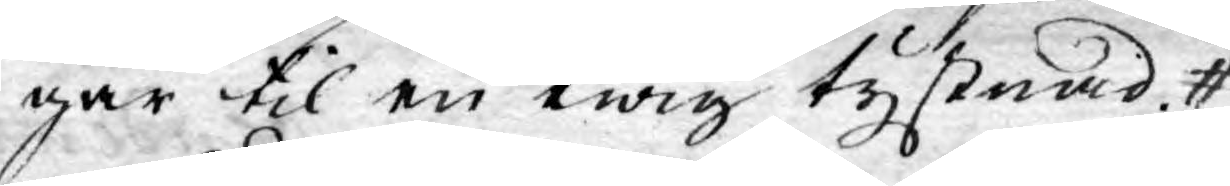gar til en ewig tystnad.
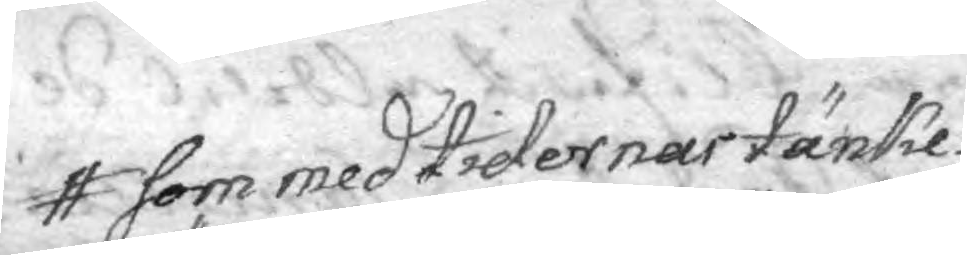som med tidernas tänke¬
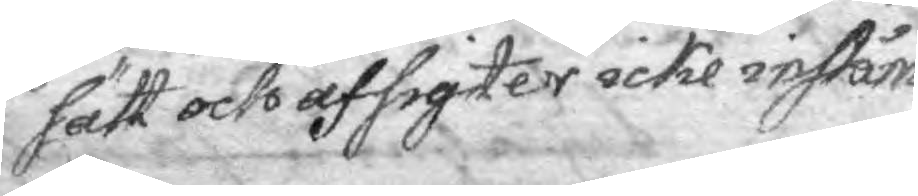sätt och afsigter icke inståm¬
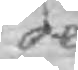de.
